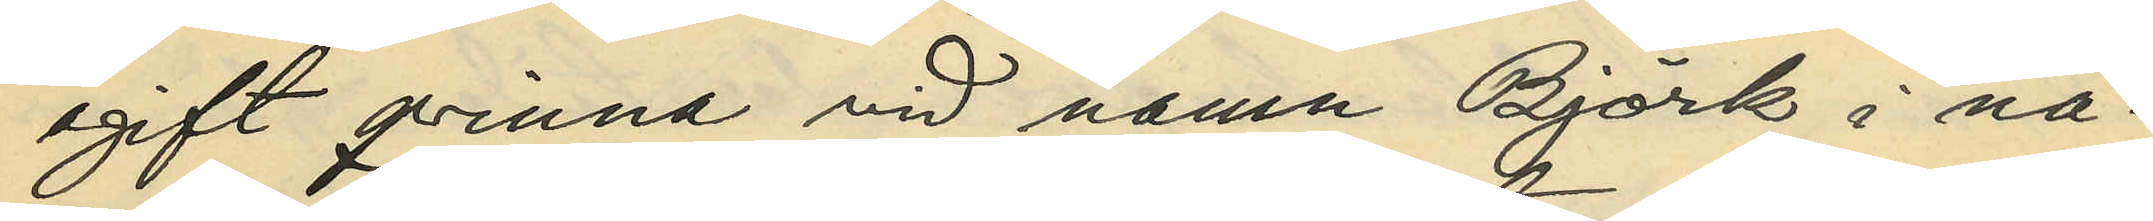ogift qvinna vid namn Björk i nå¬
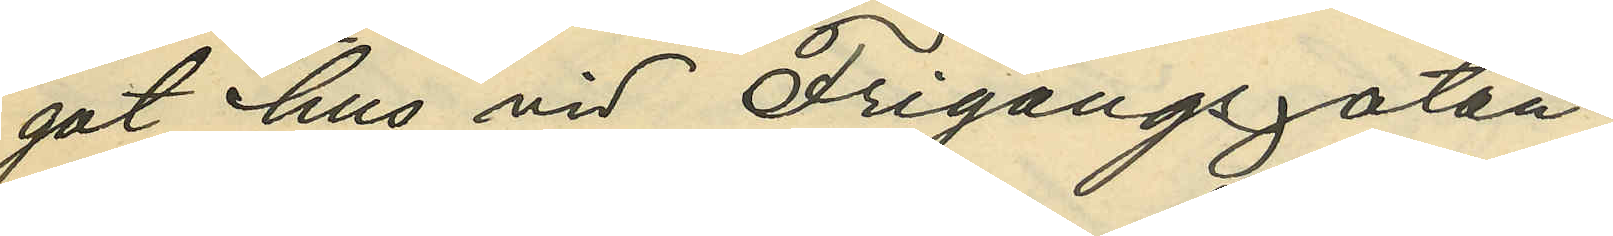got hus vid Frigångsgatan;
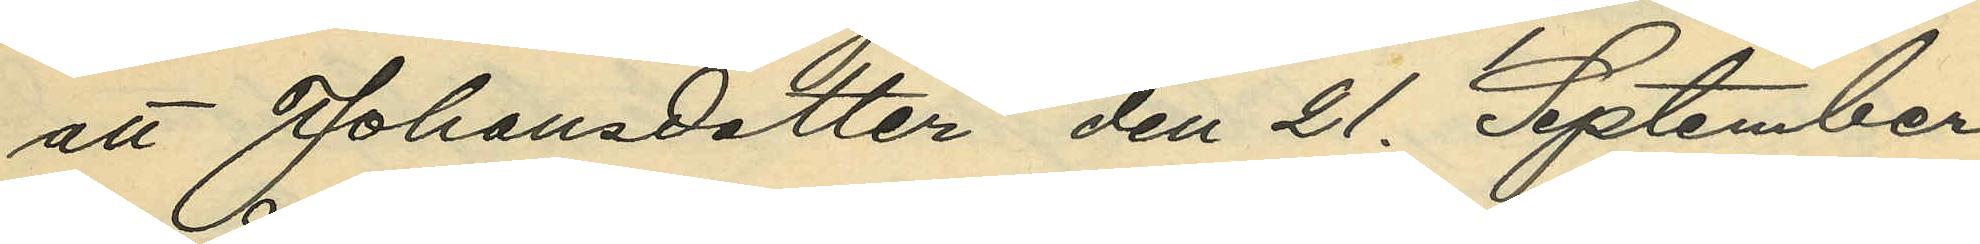att Johansdotter den 21. September
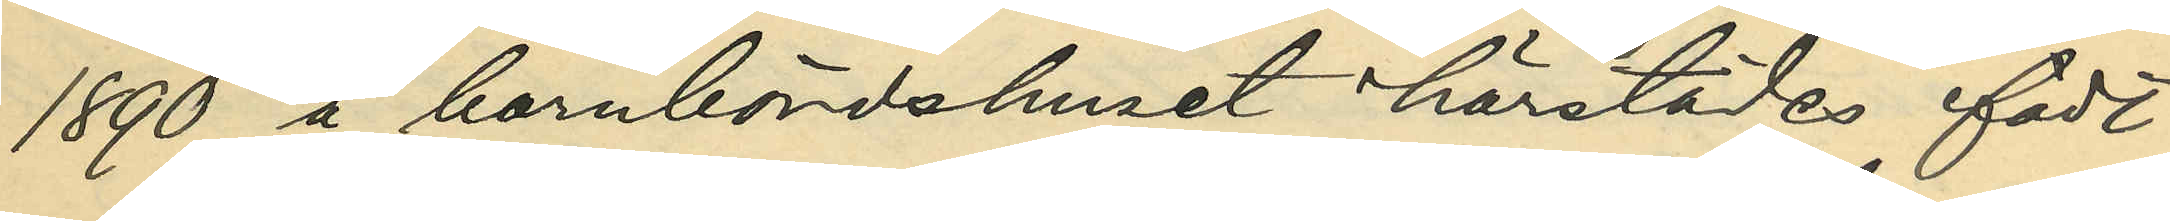1890 å barnbördshuset härstädes födt
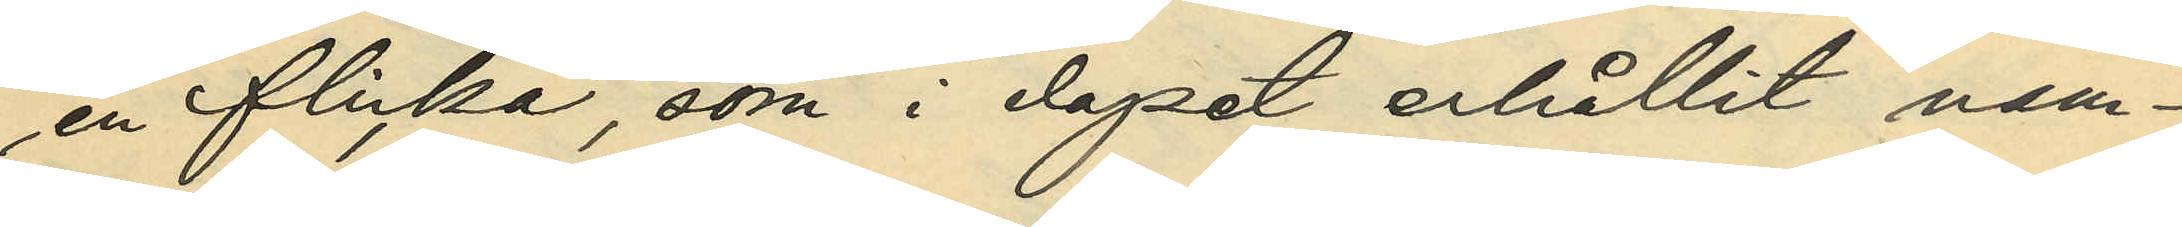en flicka, som i dopet erhållit nam¬
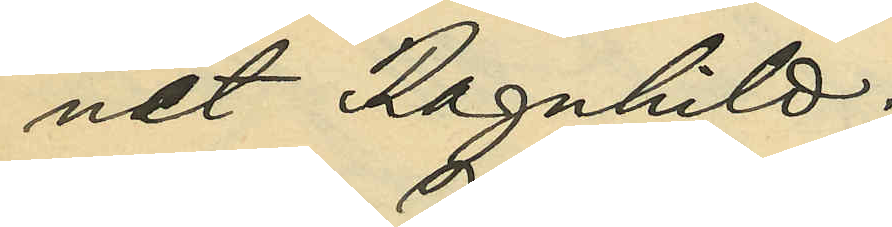net Ragnhild;
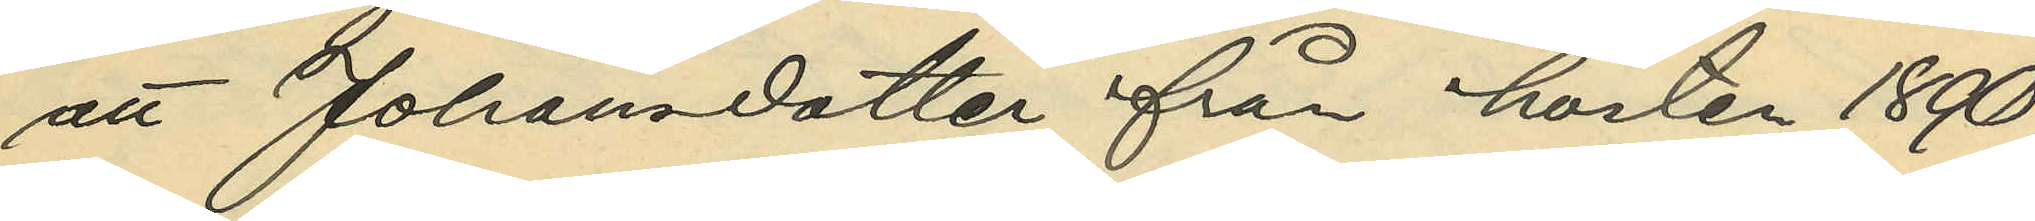att Johansdotter från hösten 1890
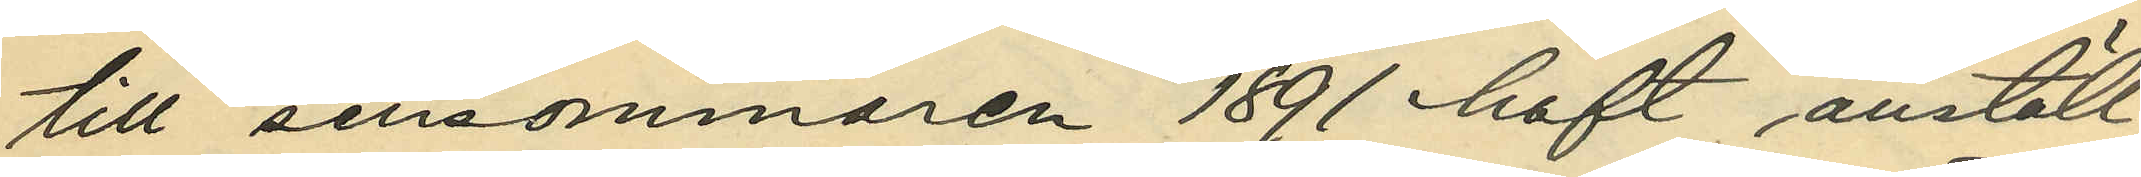till sensommaren 1891 haft anställ¬
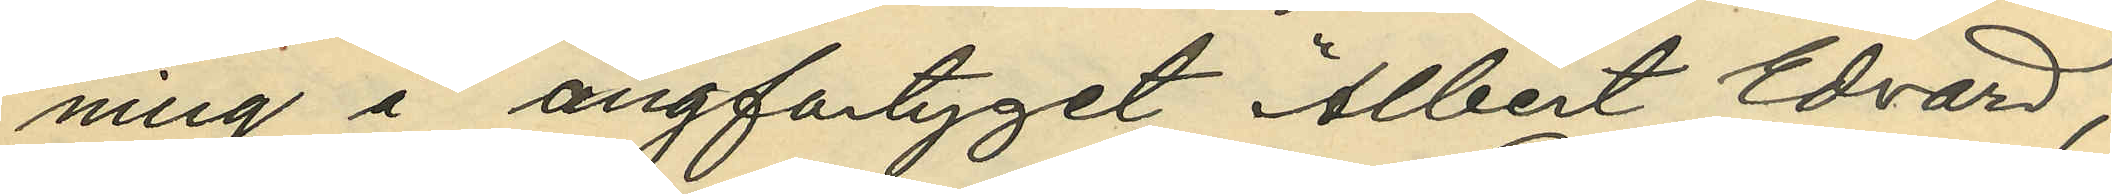ning å ångfartyget "Albert Edvard",
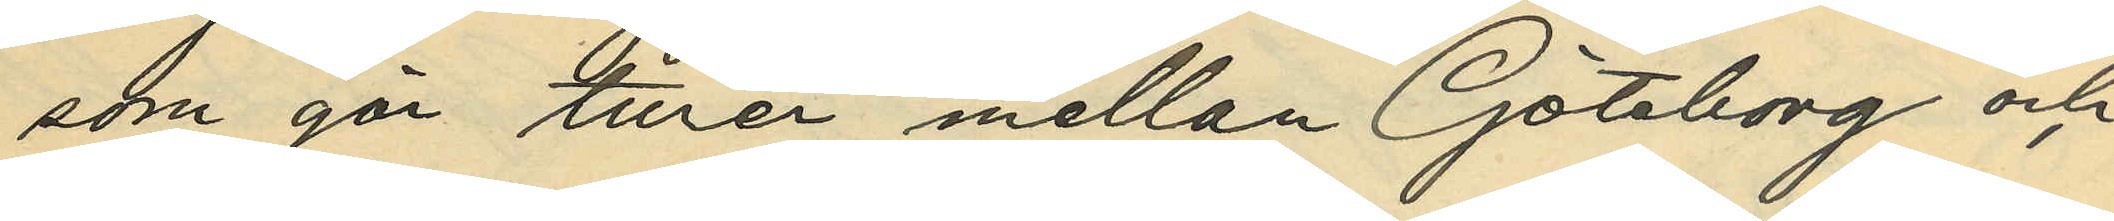som gör turer mellan Göteborg och
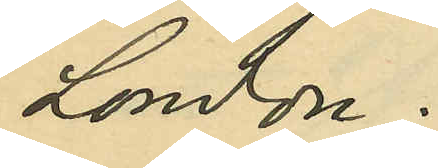London;
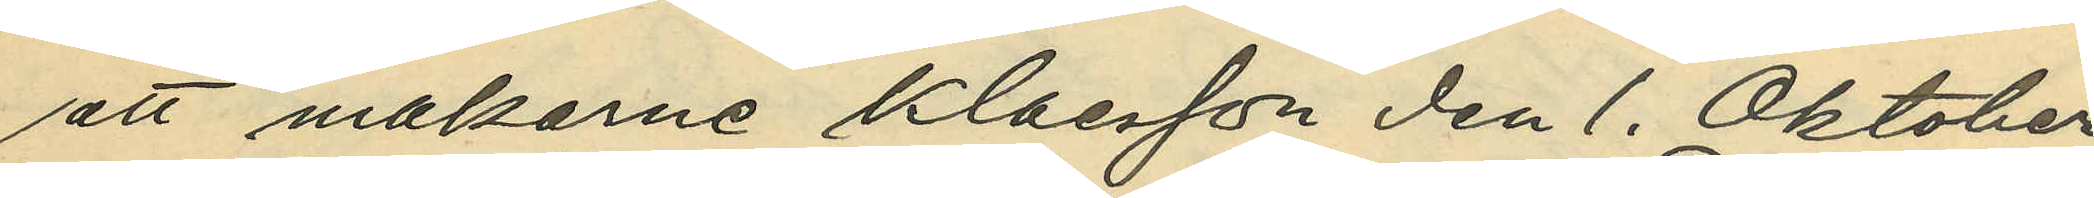att makarne Klaesson den 1. Oktober
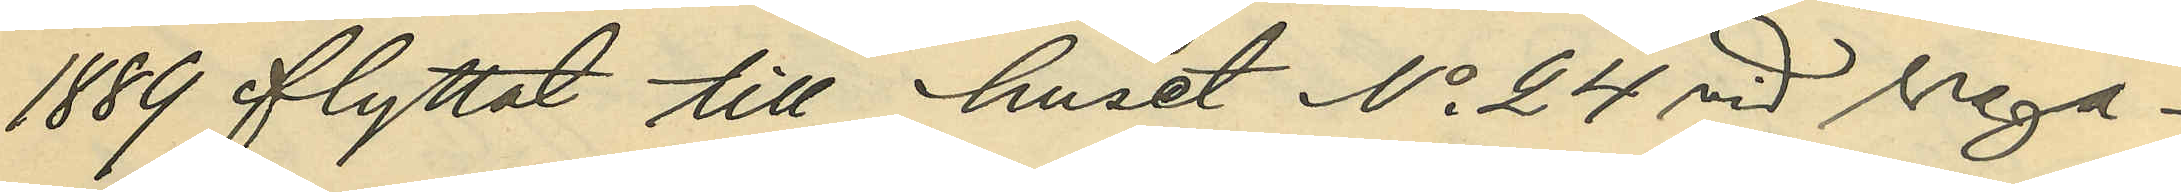1889 flyttat till huset No 24 vid Vega¬
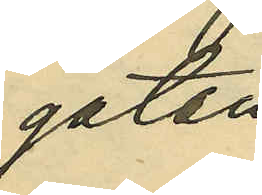gatan;
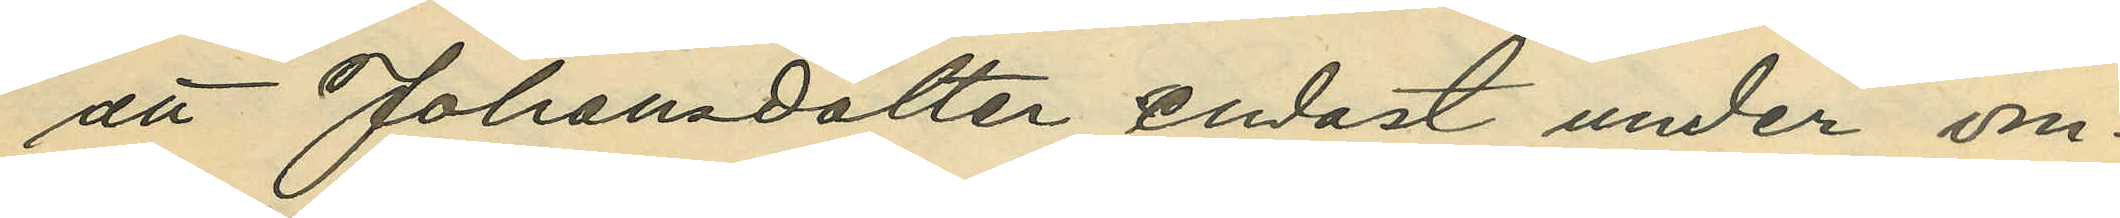att Johansdotter endast under om¬
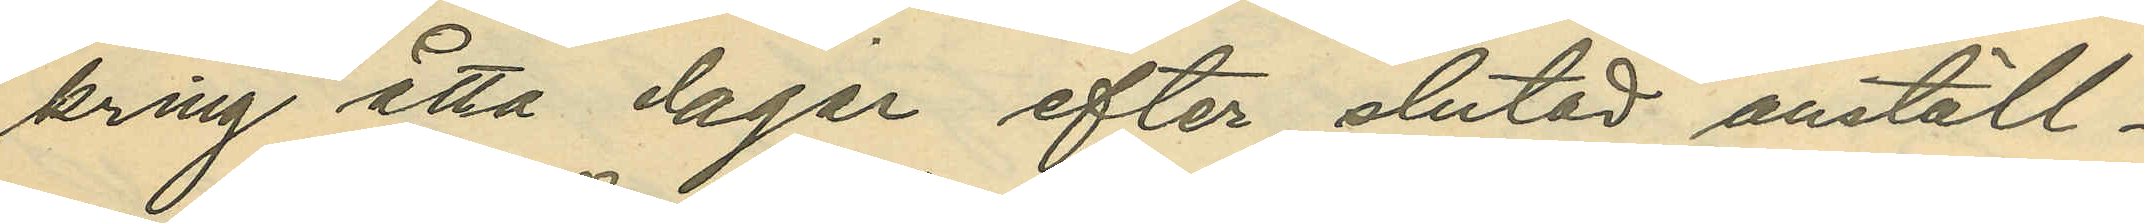kring åtta dagar efter slutad anställ¬
